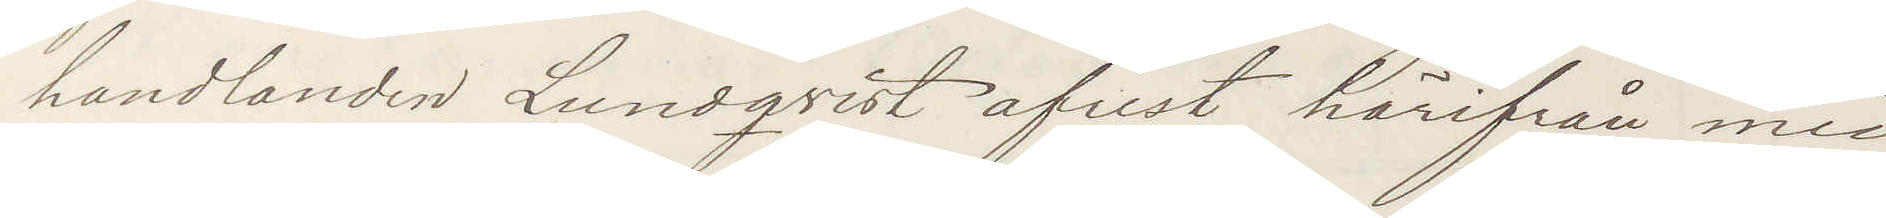handlanden Lundqvist afrest härifrån med
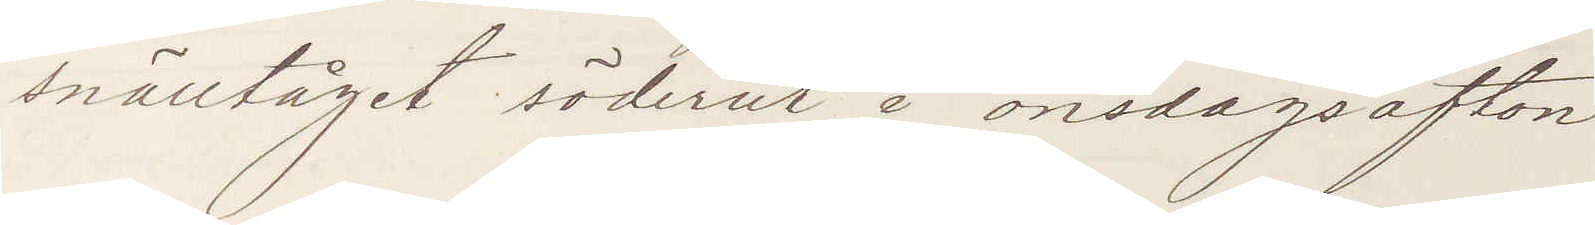snälltåget söderut å onsdagsafton
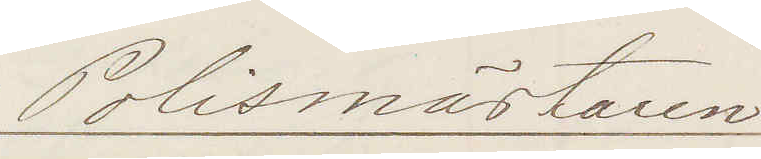Polismästaren
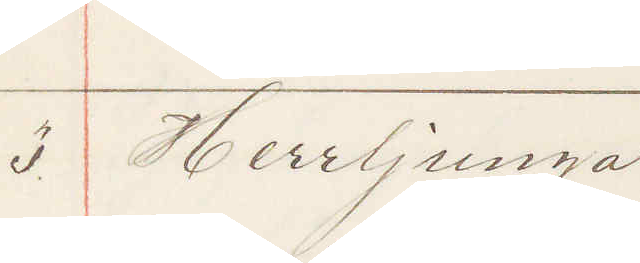3 Herrljunga
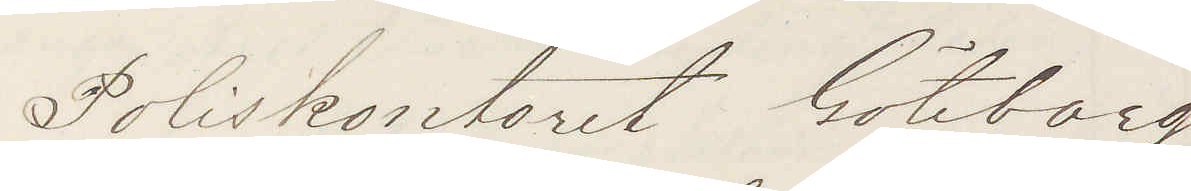Poliskontoret Göteborg
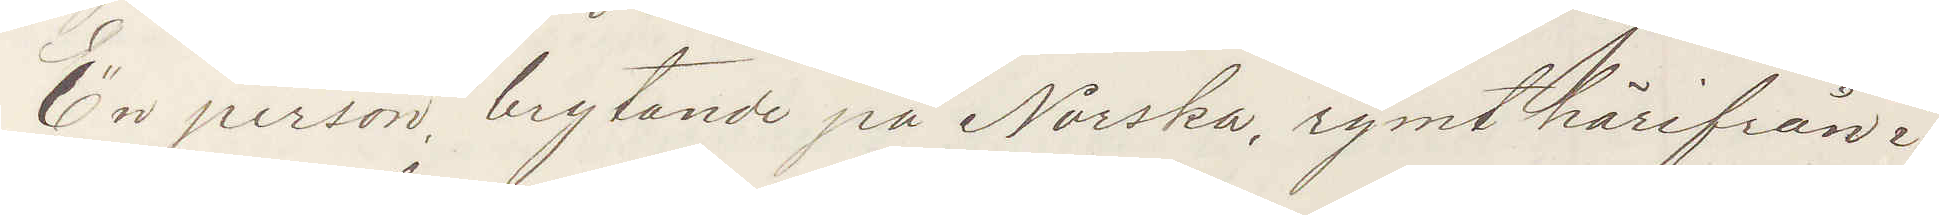En person, brytande på Norska, rymt härifrån i¬
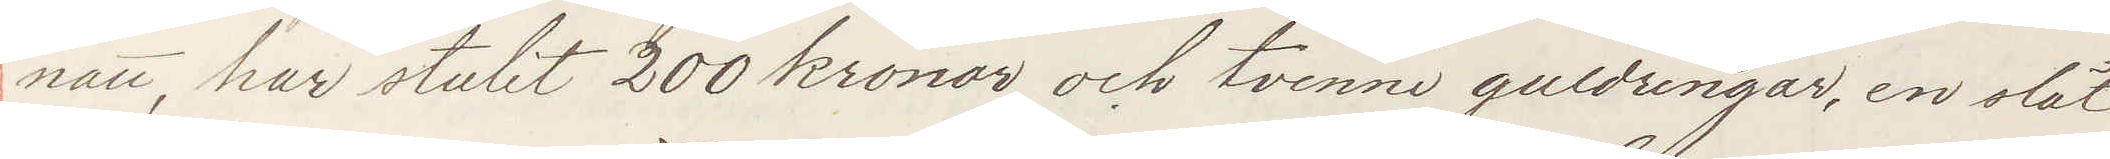natt, har stulit 200 kronor och tvenne guldringar, en slät
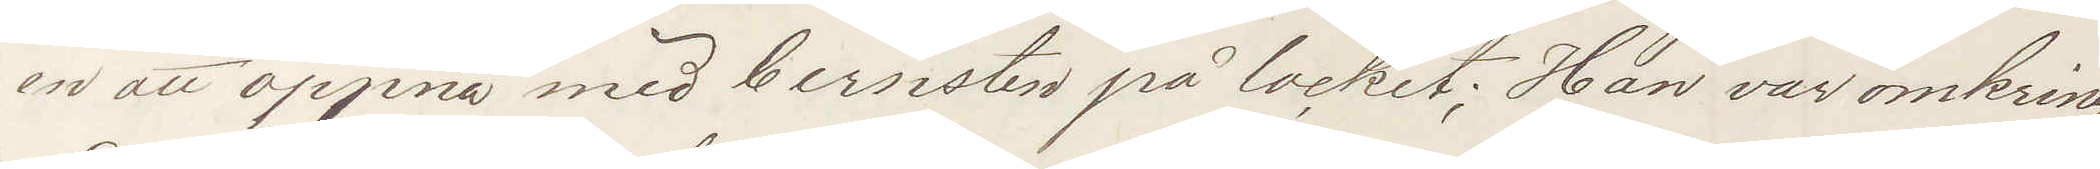en att öppna med bernsten på locket; Han var omkring
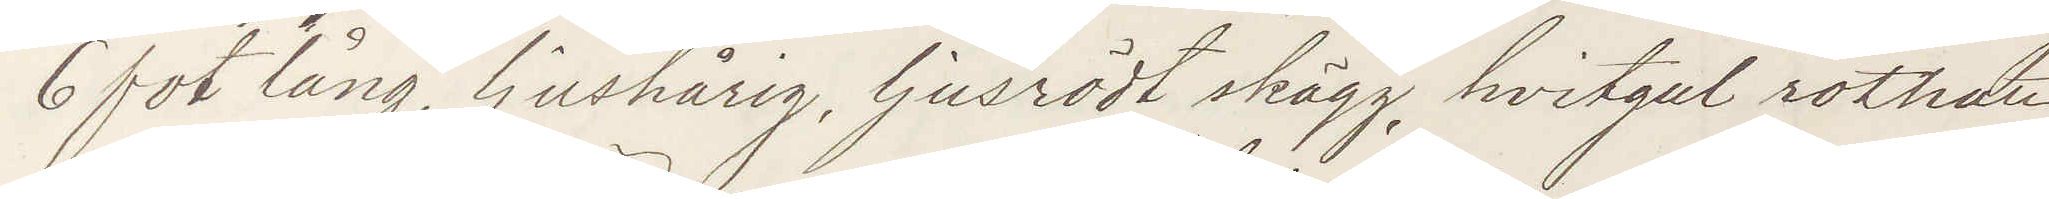6 fot lång, ljushårig, ljusrödt skägg, hvitgul rothatt
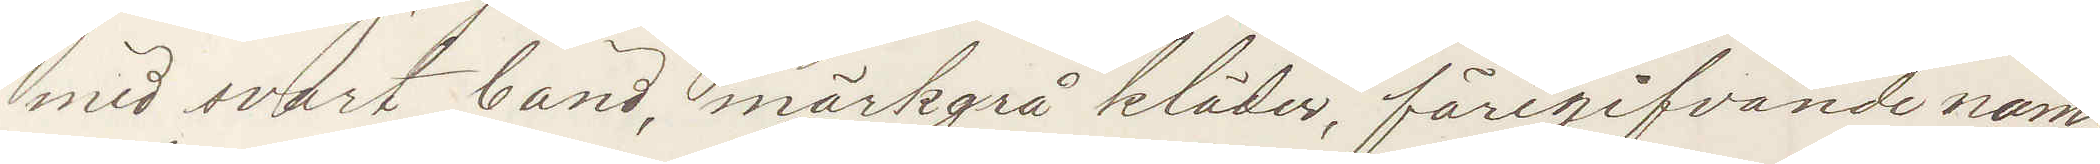med svart band, mörkgrå kläder, föregifvande nam¬
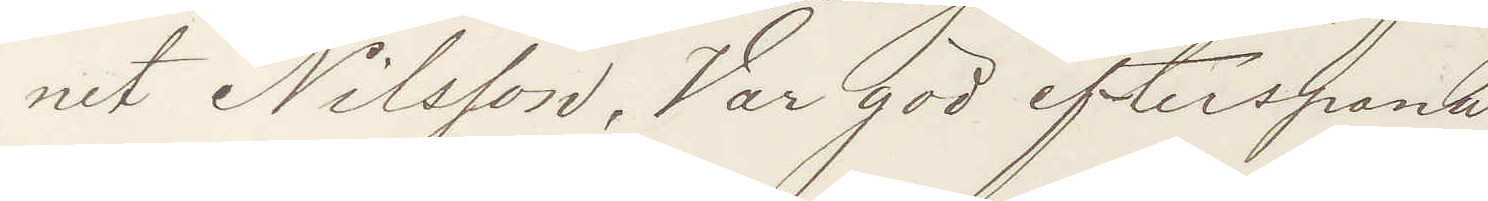net Nilsson. Var god efterspana
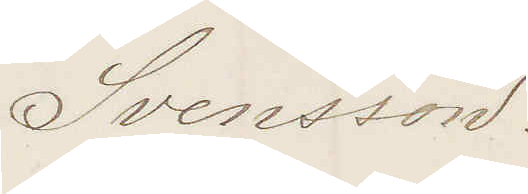Svensson.
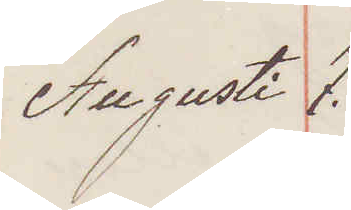Augusti 7.
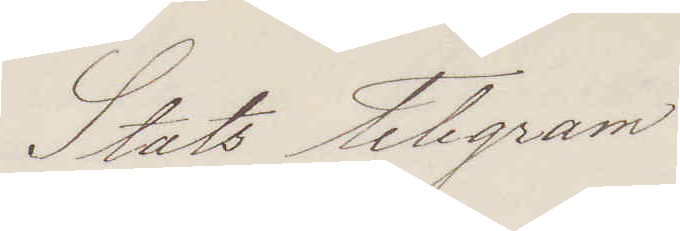Stats Telegram
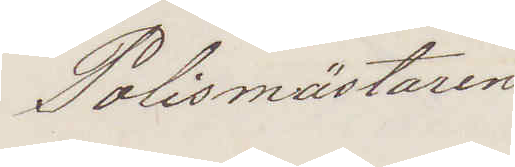Polismästaren
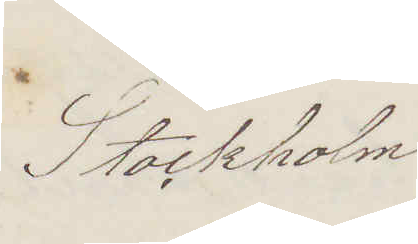Stockholm
